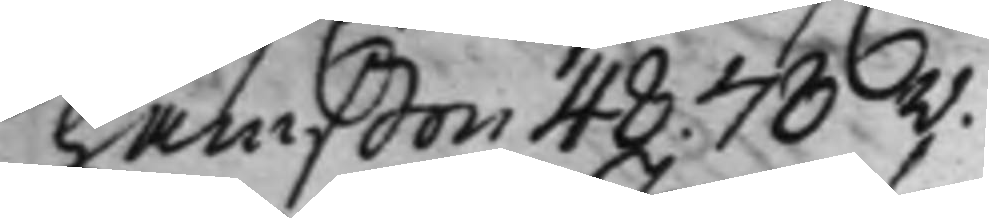hamsson 48. 78v.
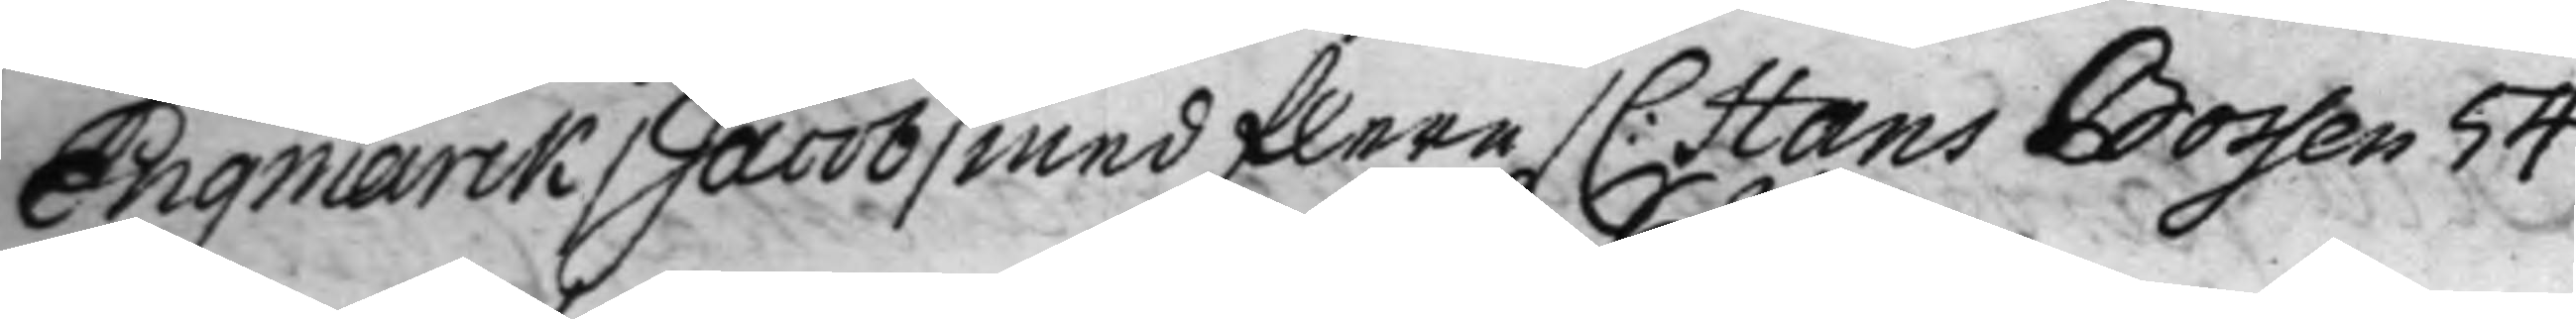Engmarck /Jacob/ med flera / C: Hans Bossen 54
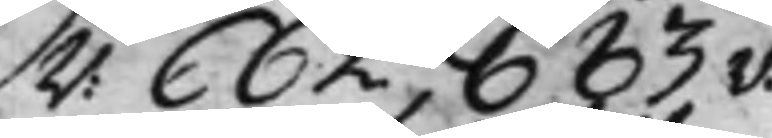v: 662 683v.
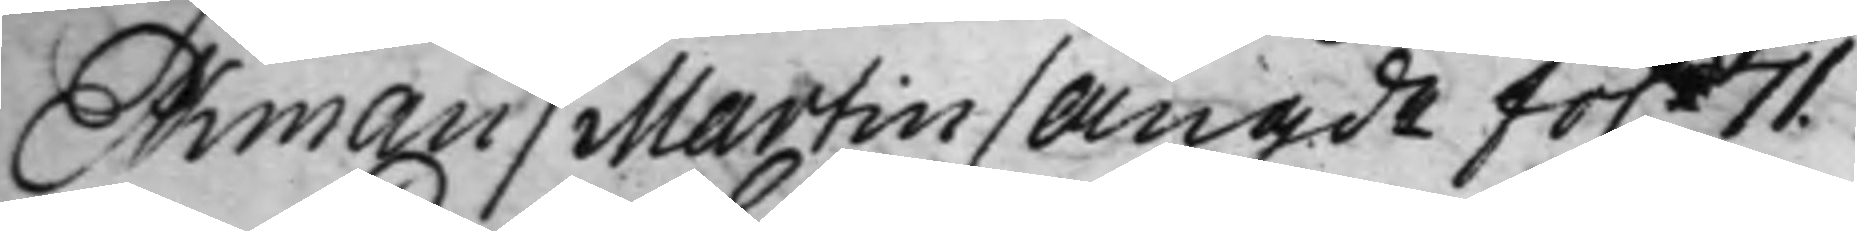Ekman / Martin / angde fo. 71.
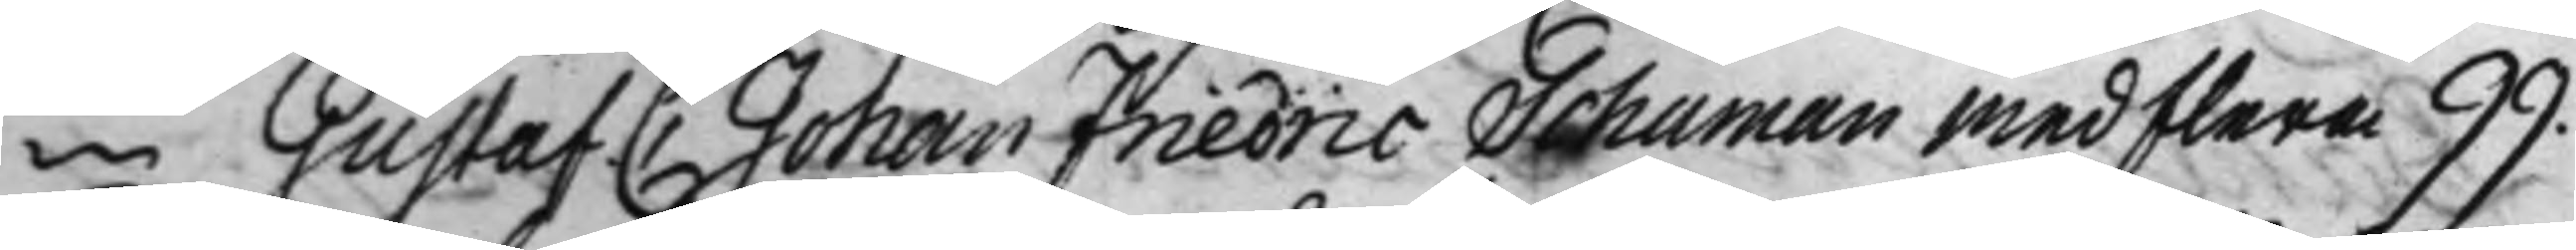-""- Gustaf C Johan Friedric Schuman med flera 99.
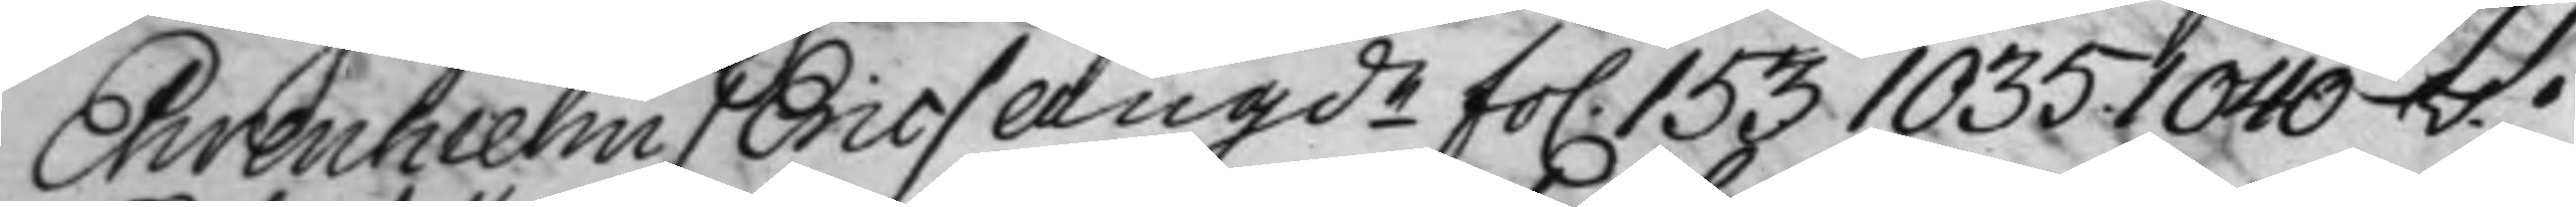Ehrenhielm / Eric /angde fo. 153 1035. 1040v.
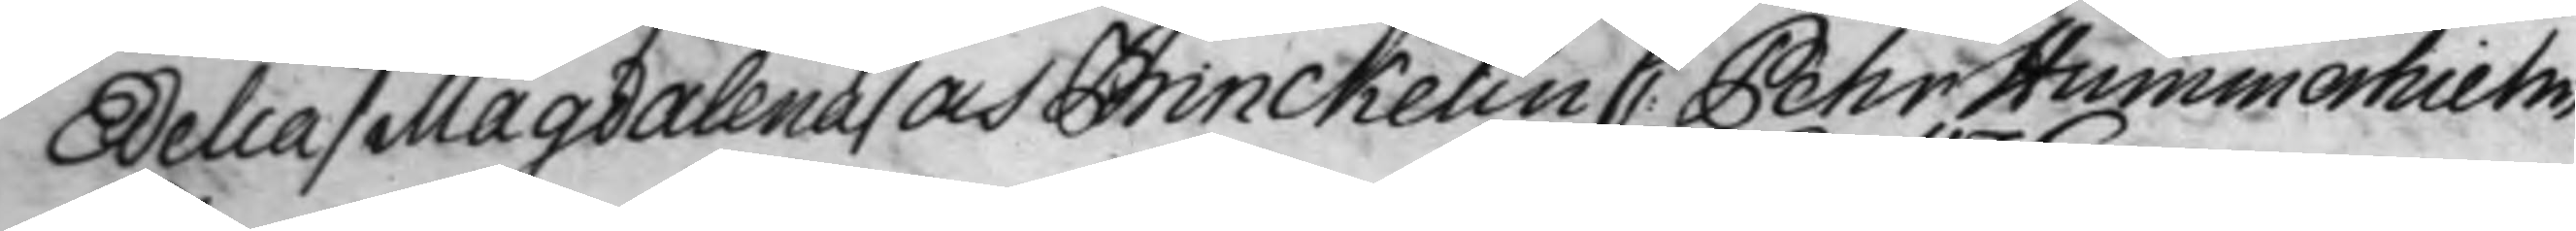Edelia / Magdalena / och Brinckelin C: Pehr Hummerhielm,
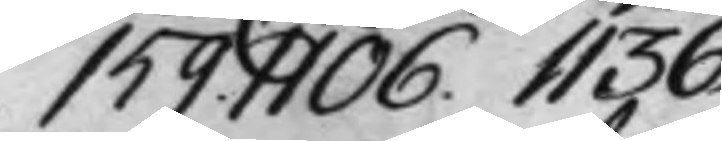159. 1106. 1136.
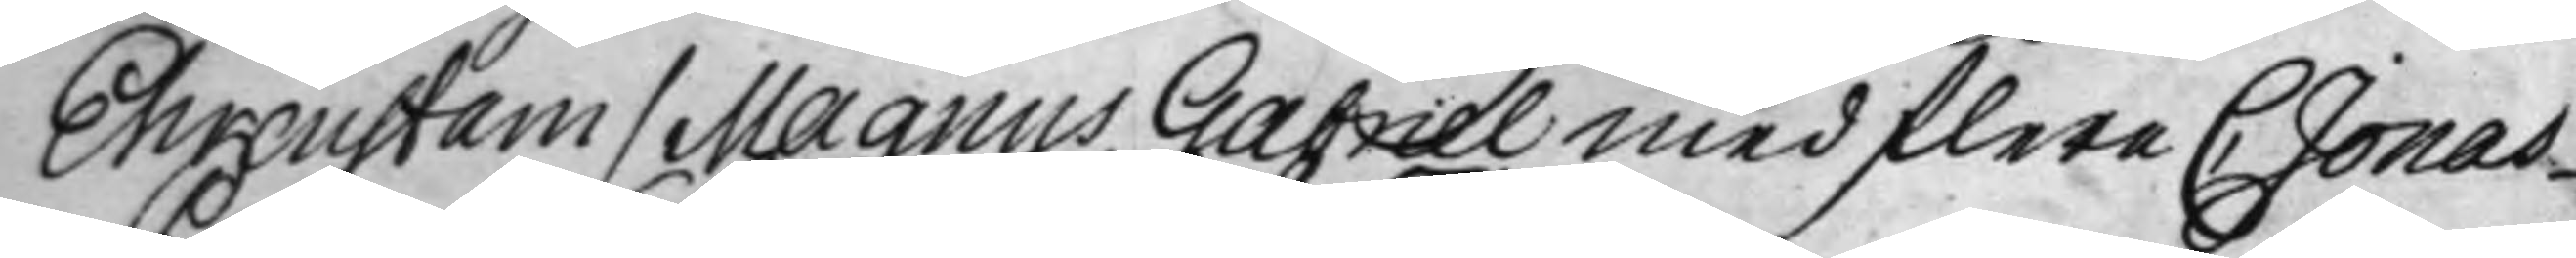Ehrenstam / Magnus Gabriel med flera C Jonas
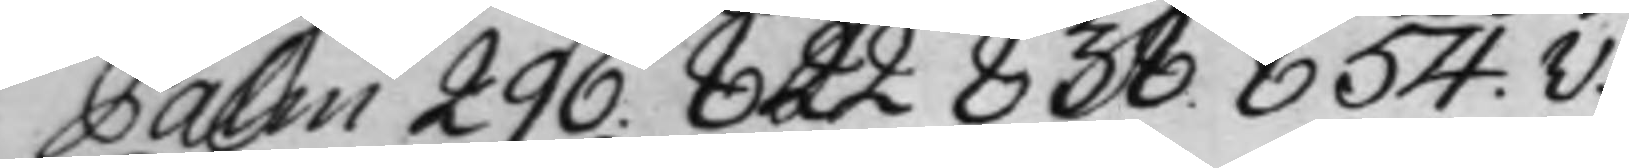Palm 296. 822 838. 854.v.
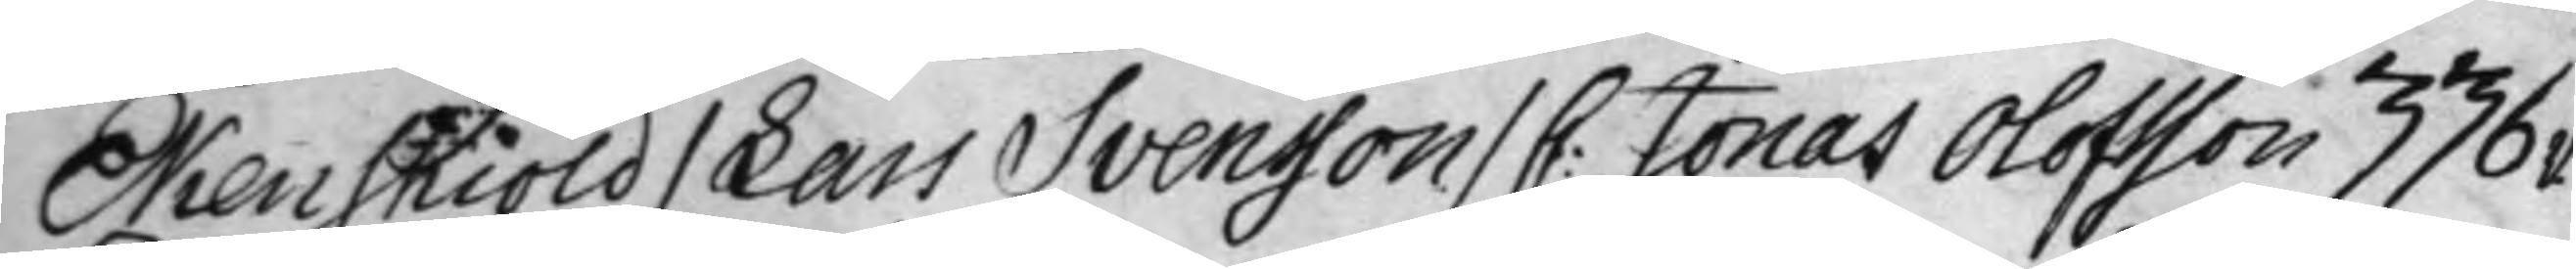Ekenskiöld / Lars Svensson / C: Jonas Olofsson 336v.
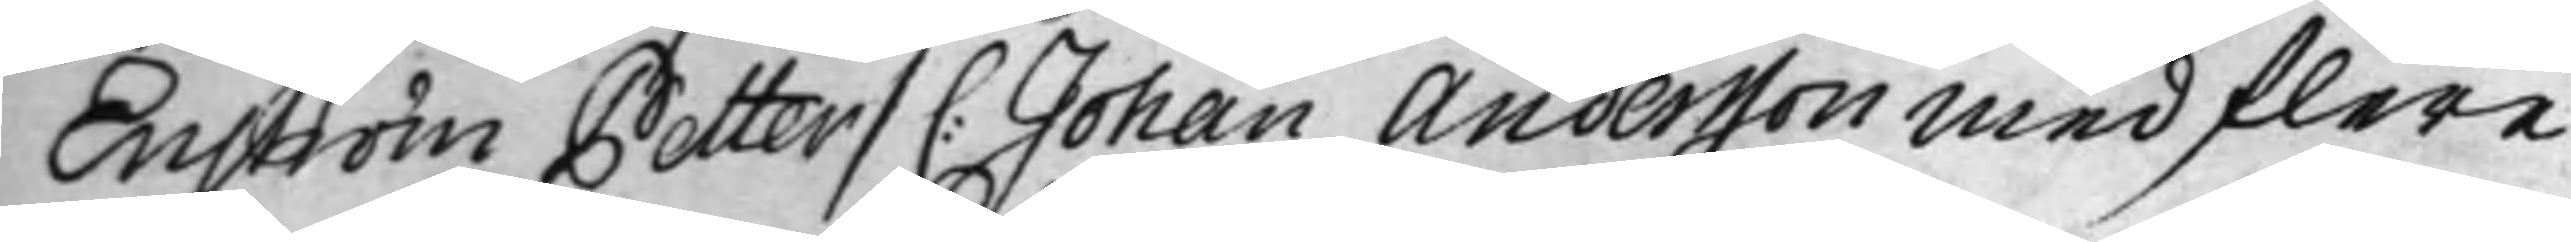Enström Petter / C: Johan Andersson med flera
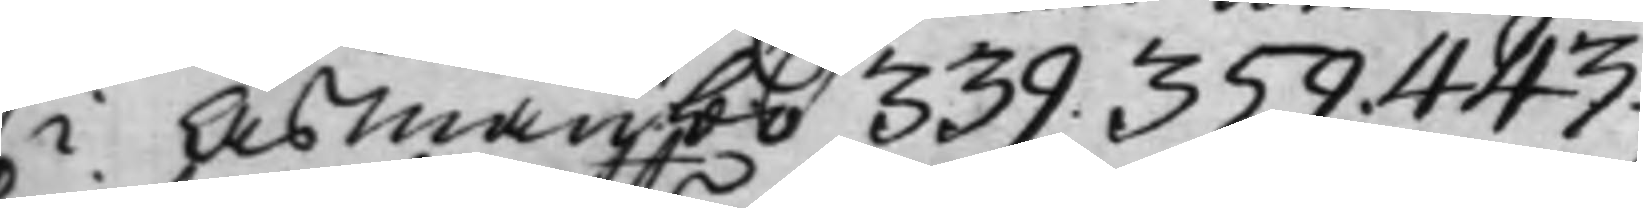i Åsmansbo 339. 359. 443.
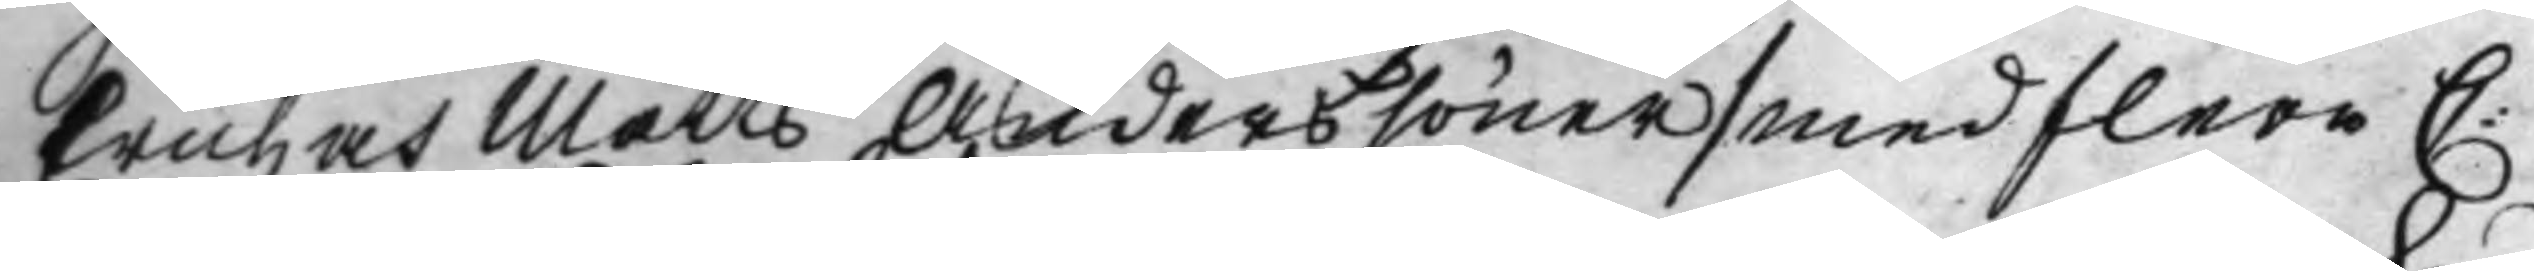Erich och Matts Anderssöner / med flera C:
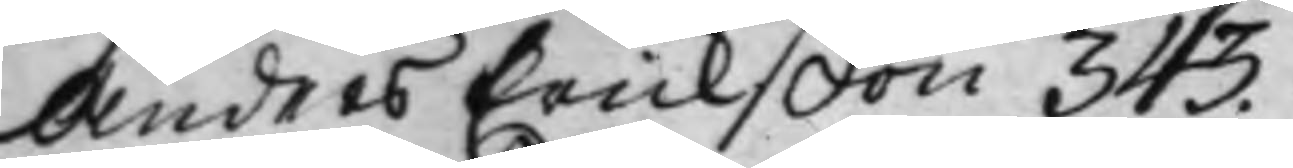Anders Erickßon 343.
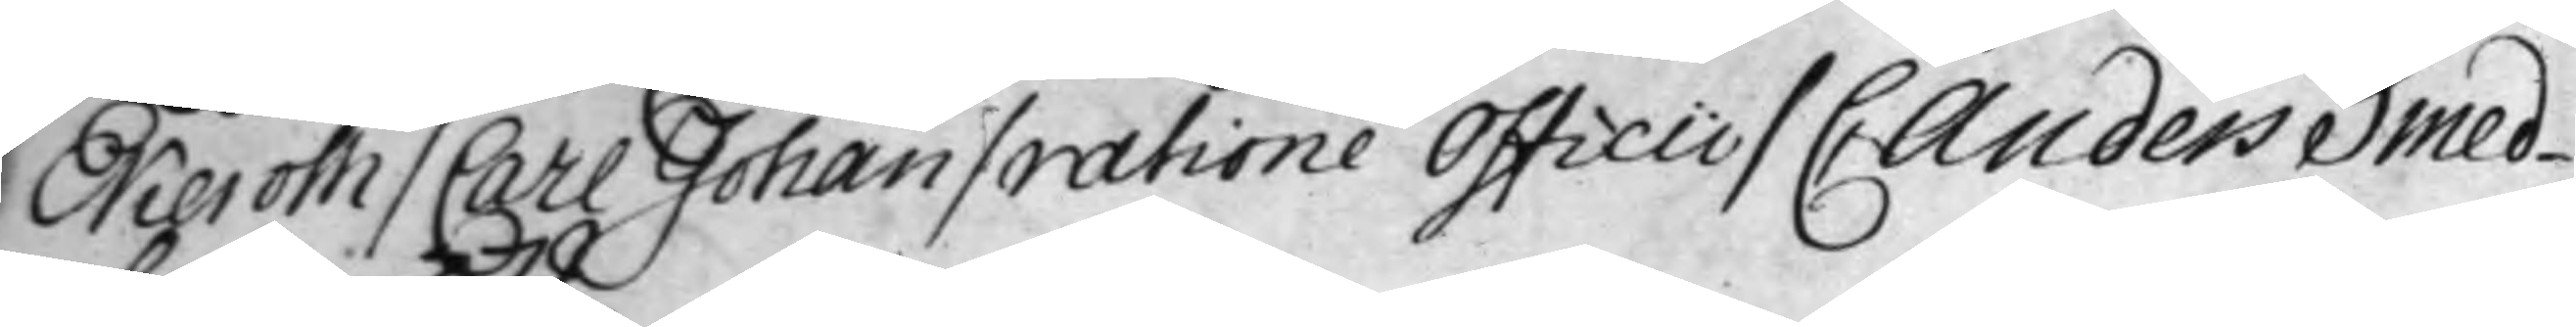Ekeroth / Carl Johan / ratione Officii / C Anders Smed¬
